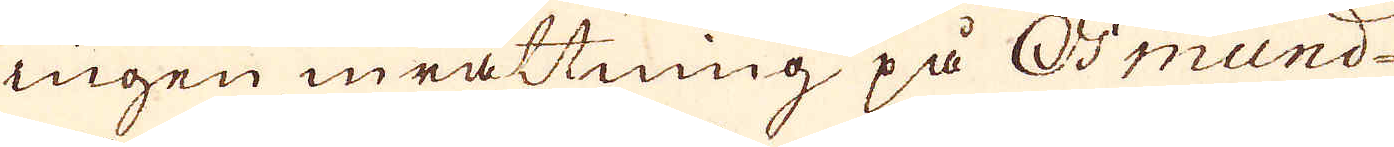ingen inrättning på Osmund
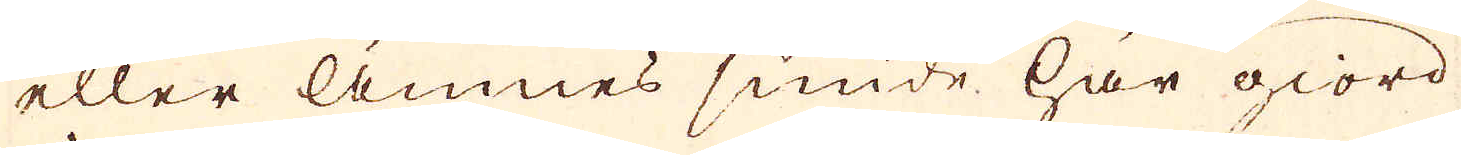eller Ämnes smide här giord
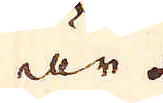är.
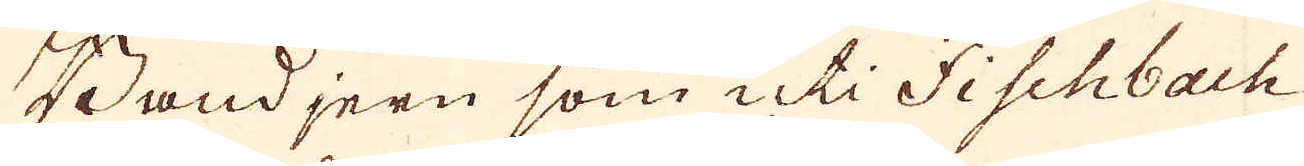Bandjern som uti Fischbach,
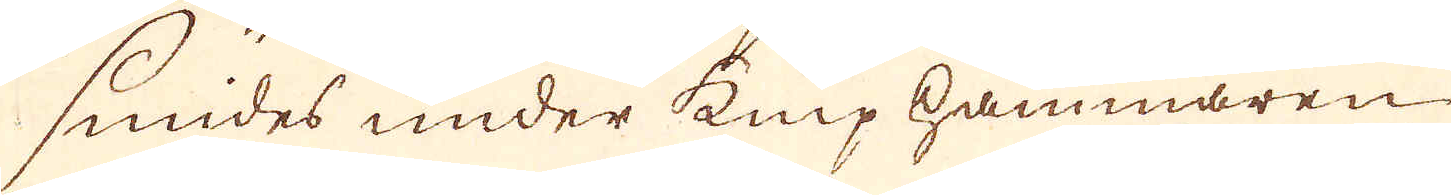smides under kniphammaren
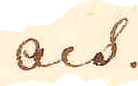och
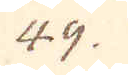49.
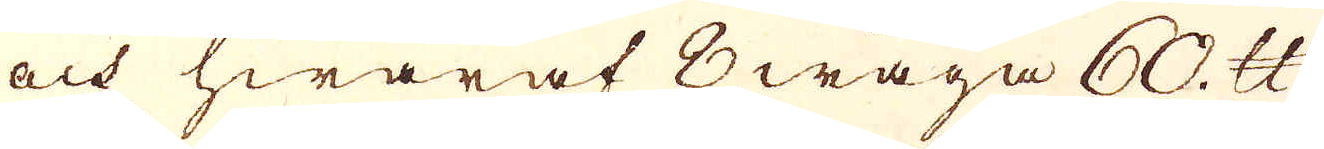och hwaraf 8 wäga 60. skålpund
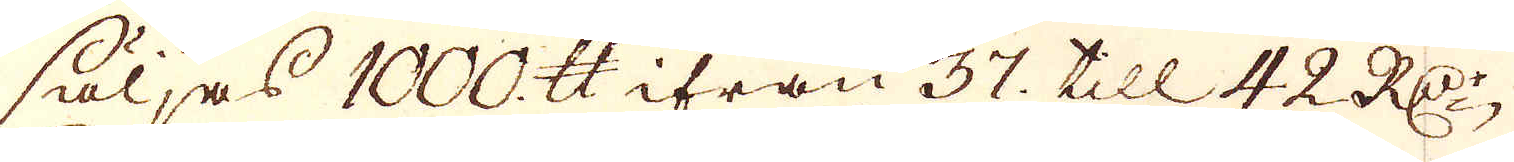säljas 1000. skålpund ifrån 37. till 42 R:Dr
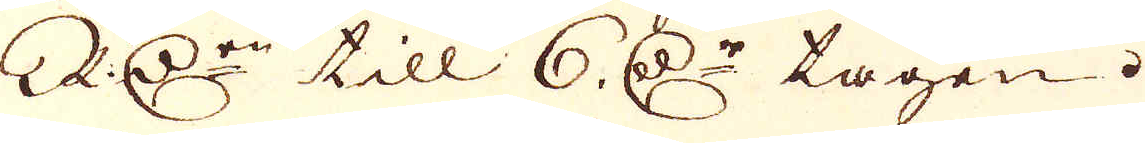RD:r till 6. D:r tagen.
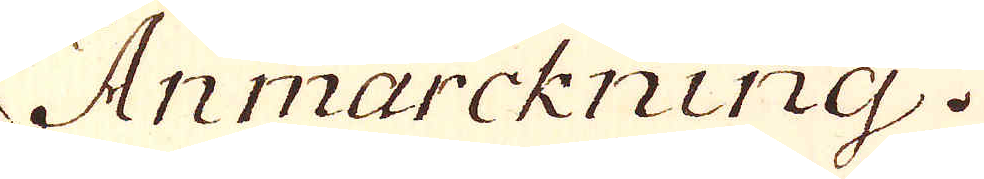Anmärckning.
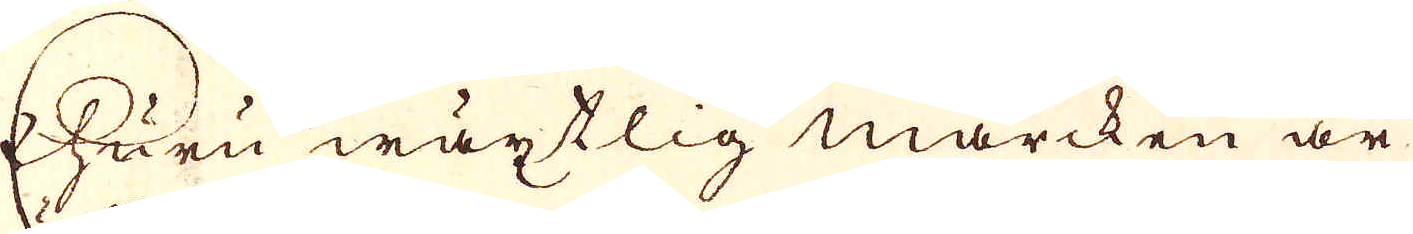Ehuru wäxtlig marcken är
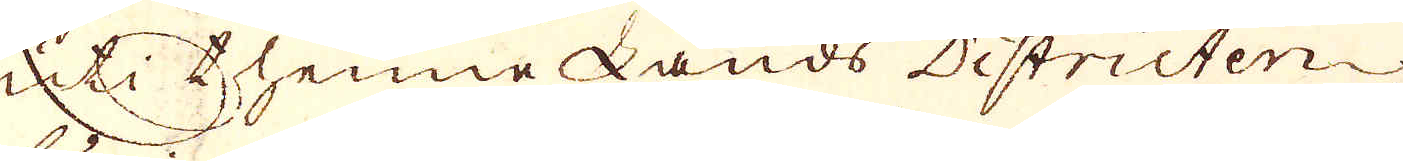uti thenne Lands Districten
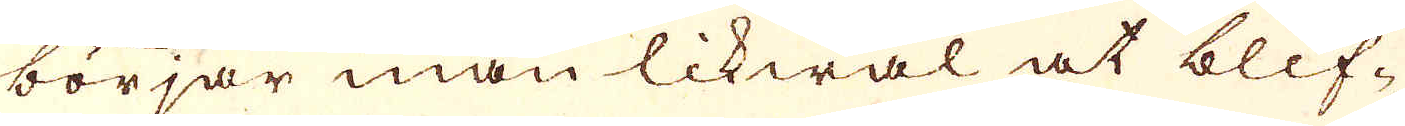börjar man likwäl at blif-
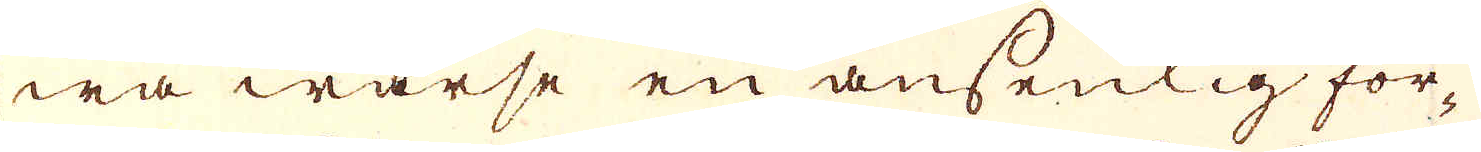wa warse en ansenlig för-
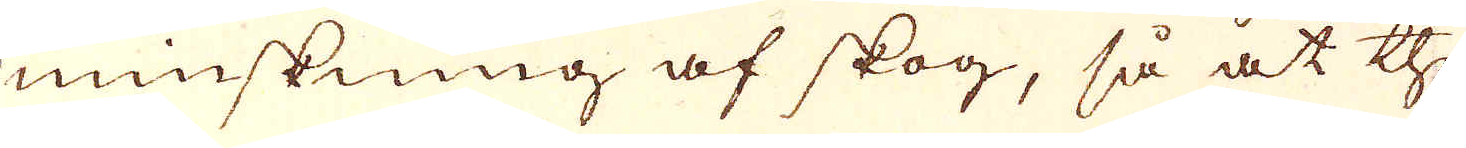minskning af skog, så at the
